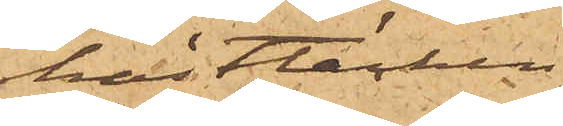hästtäcken.
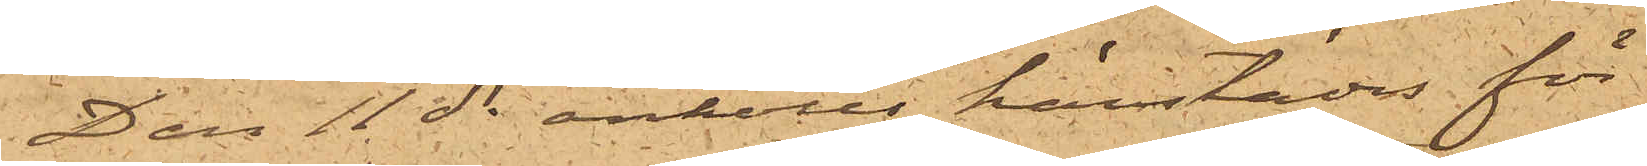Den 11 ds anhölls härstädes för
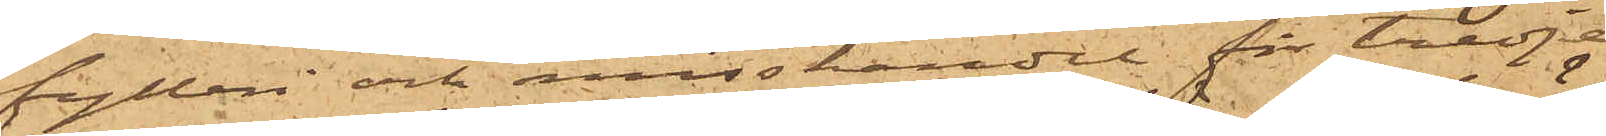fylleri och misshandel för tredje
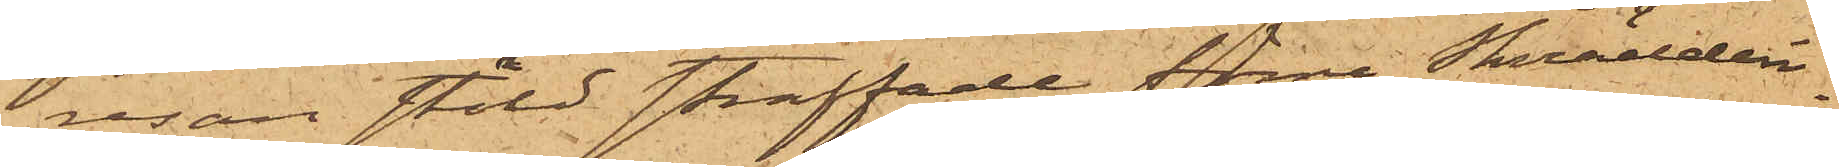resan stöld straffade förre Skrädderi¬
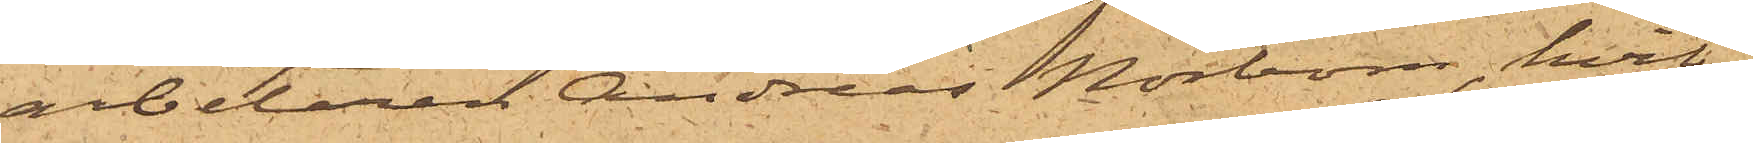arbetaren Andreas Norbom, hvil¬
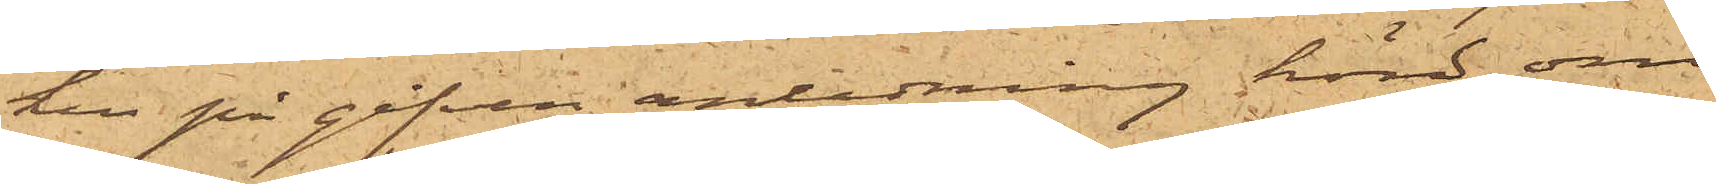ken på gifven anledning hörd om
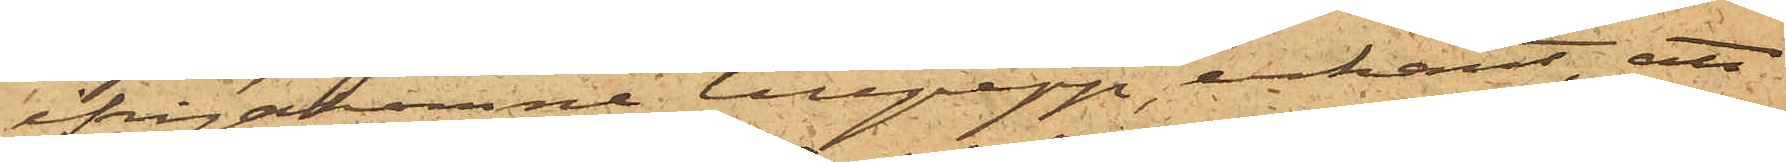ifrågakomne tillgrepp, erkänt, att
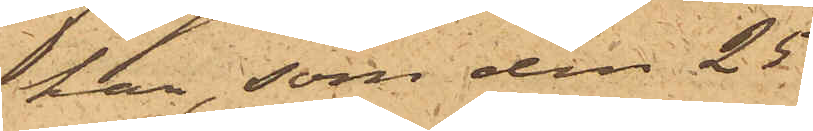han, som den 25
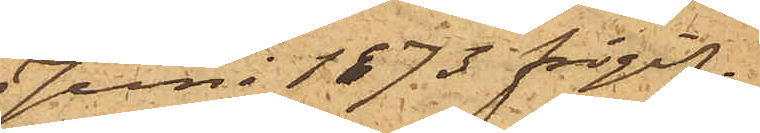Juni 1873 frigif¬
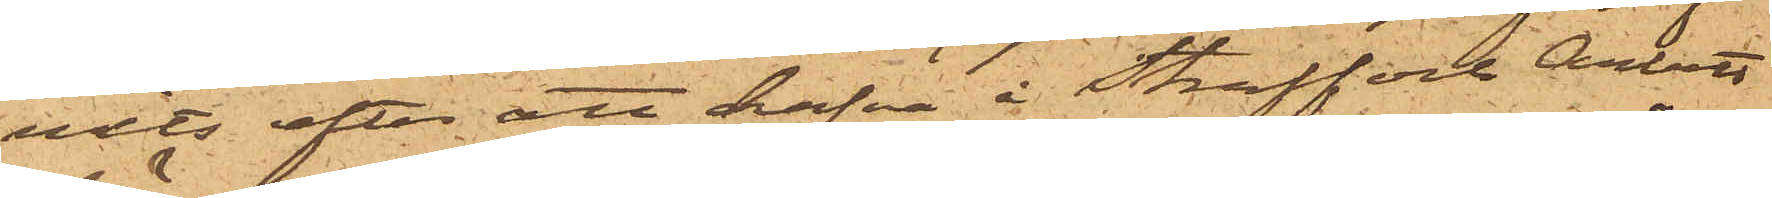vits efter att hafva i Straff och Arbets
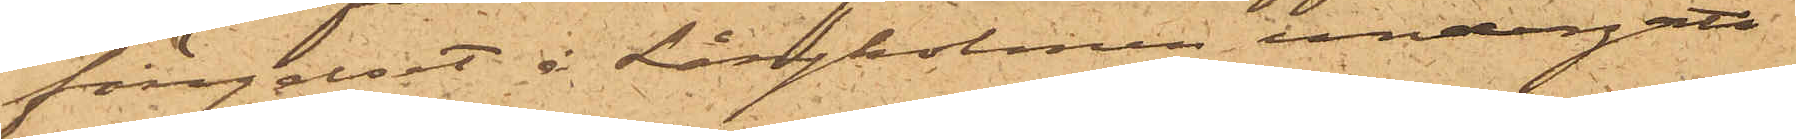fängelset å Långholmen undergått
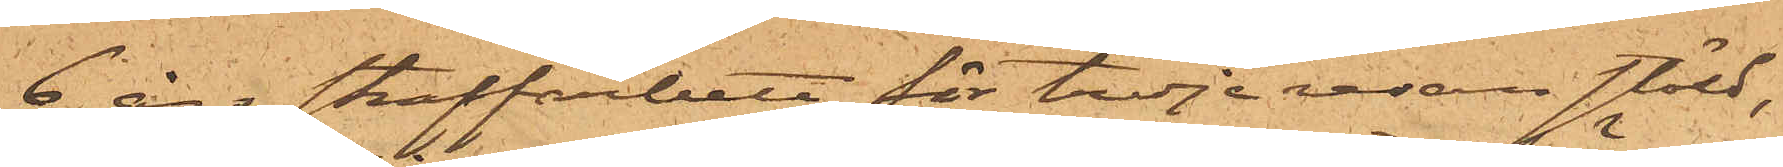6 års straffarbete för tredje resan stöld,
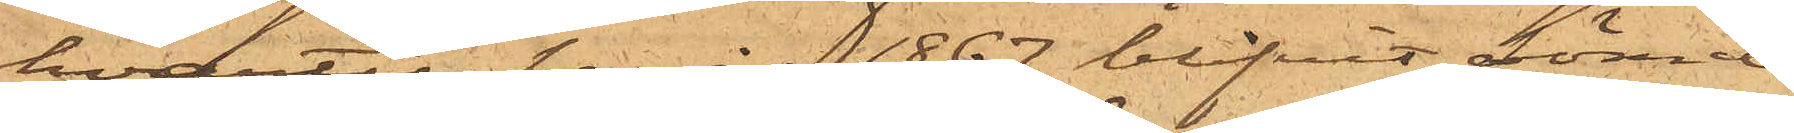hvartill han år 1867 blifvit dömd
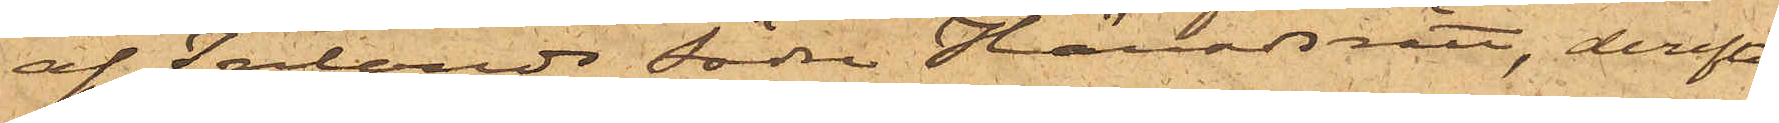af Inlands Södra Häradsrätt, derefter
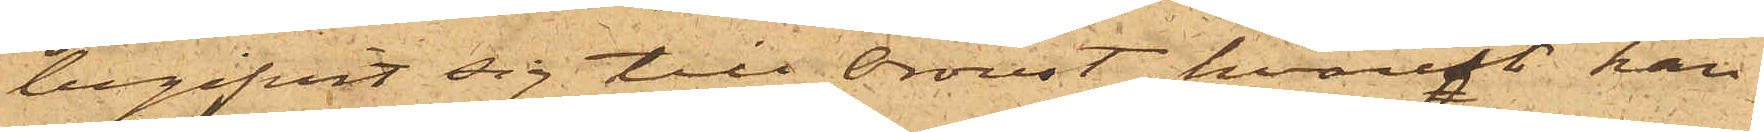begifvit sig till Oroust, hvarest han
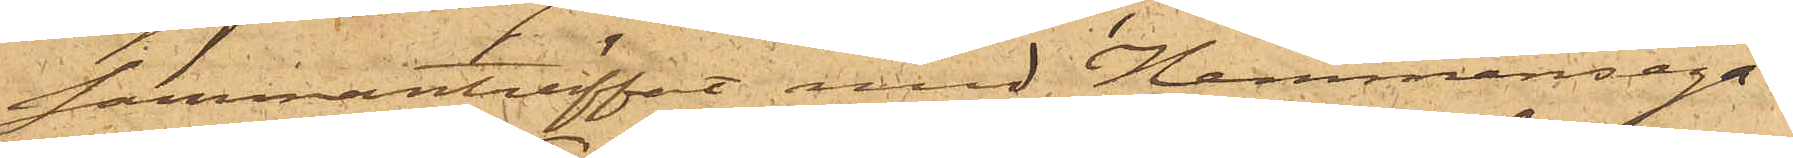sammanträffat med Hemmansega¬
